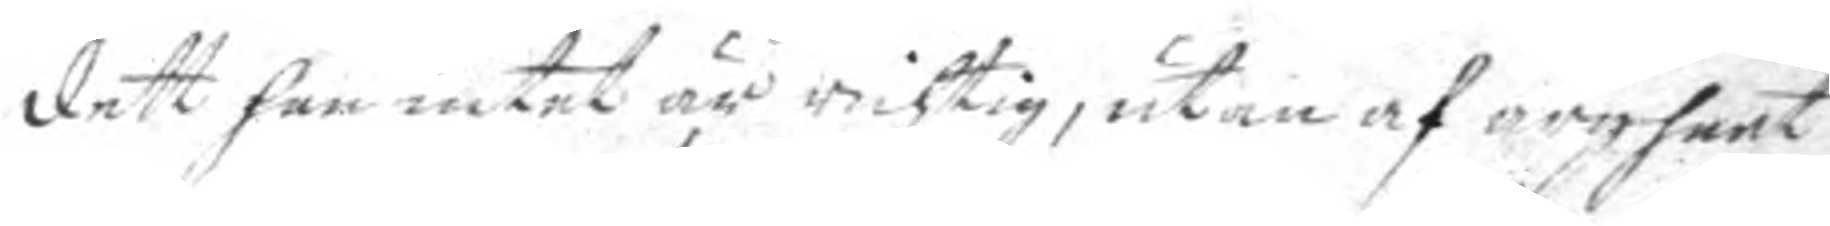dett han intet är richtig, utan af argheet
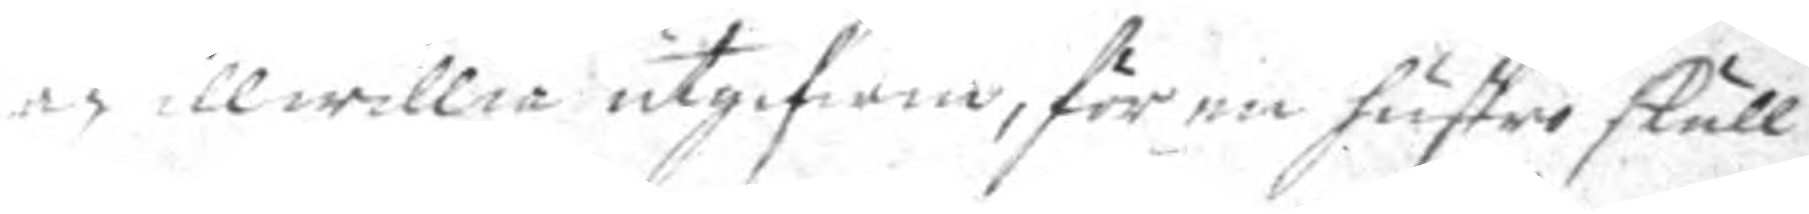och illwillia utgifwin, för en hustro skull
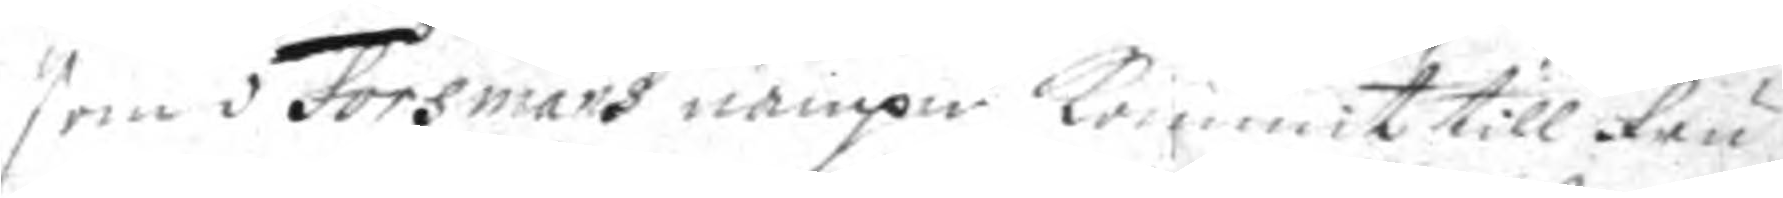som i Forsmans nampn kommit till Fru
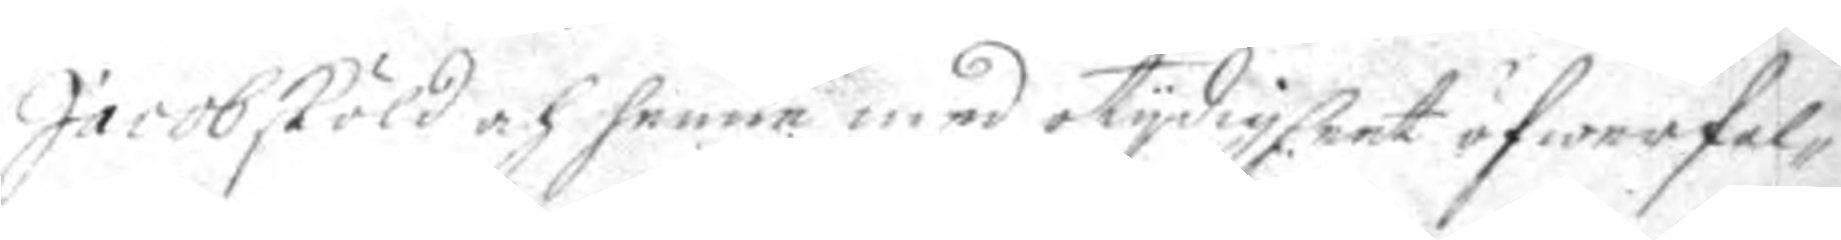Jacobsköld och henne med otydigheet öfwerfal¬
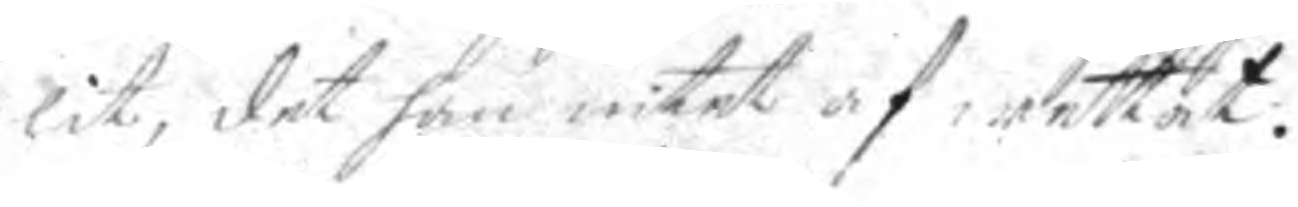lit, det han intet af wettat.
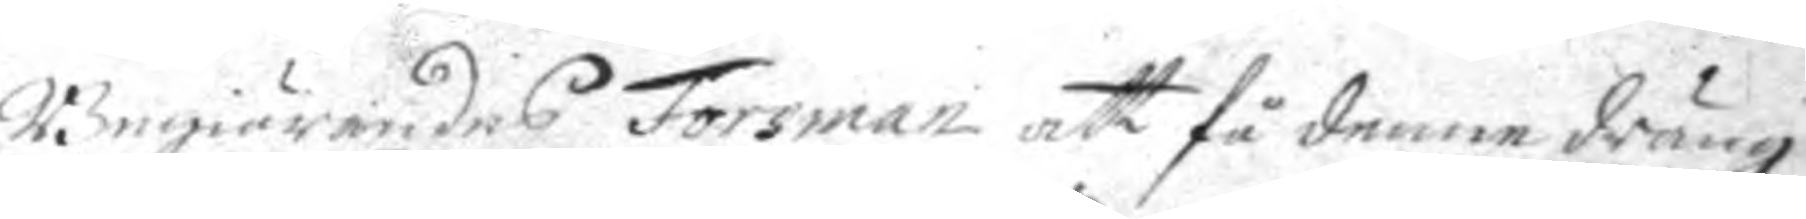Begiärandes Forsman att få denne dräng
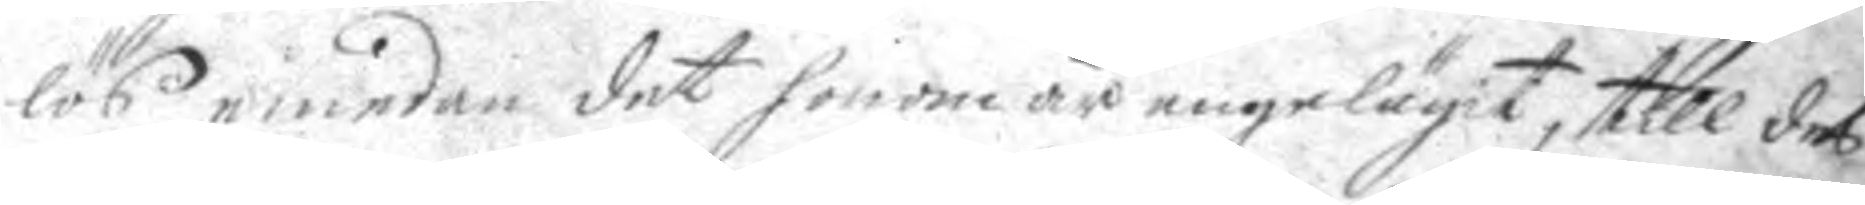lös emedan det honom är angeläget, till des
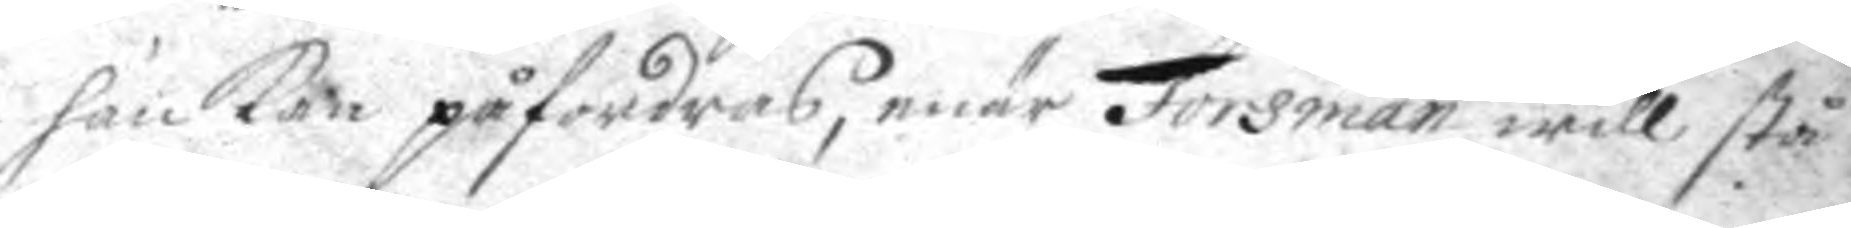han kan påfordras, enär Forsman will stå
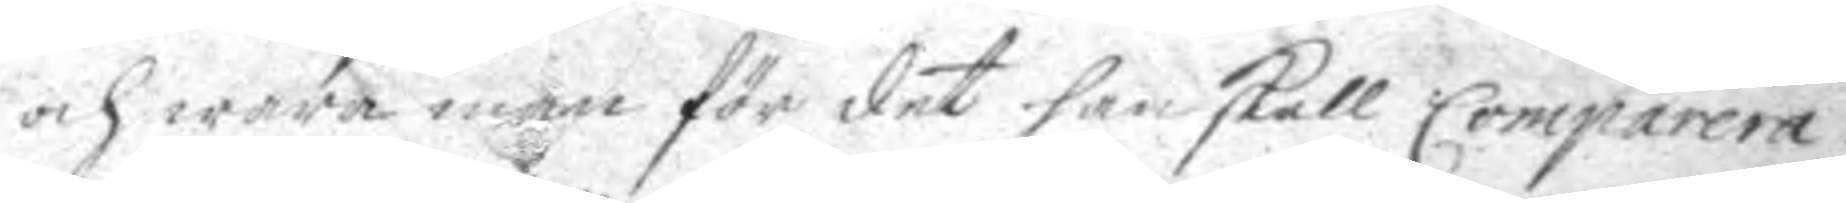och wara man för det han skall Comparera
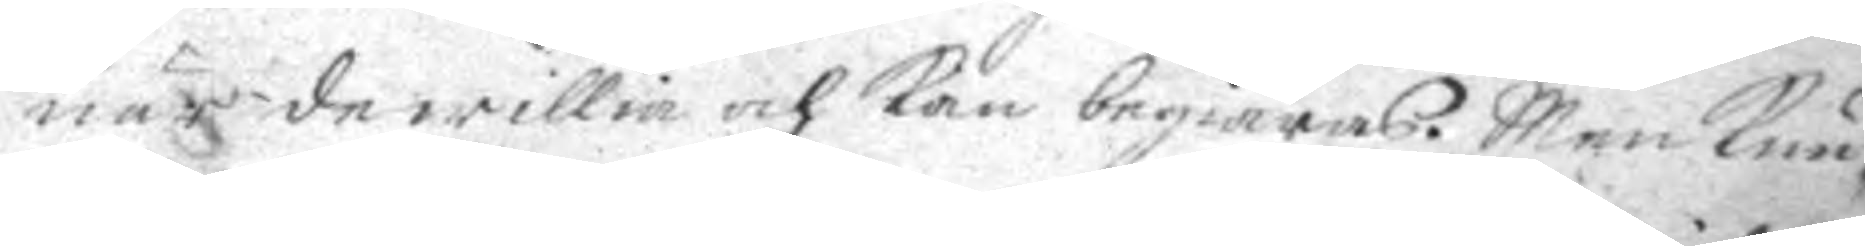när de willia och kan begiärans. Man kun¬
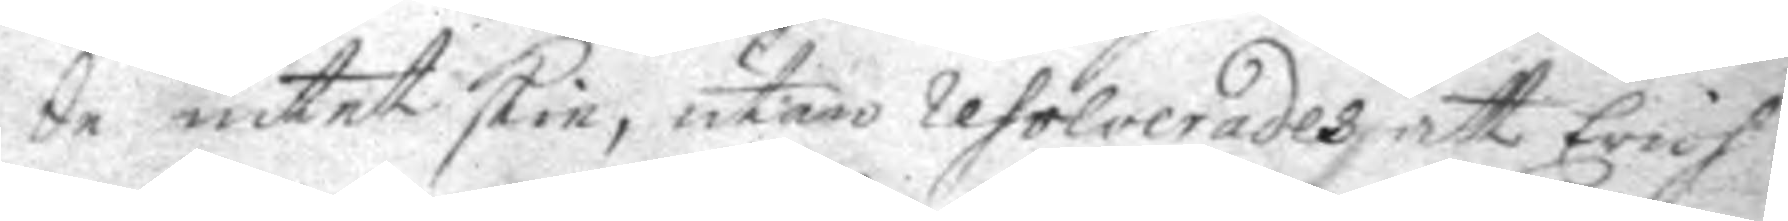de intet skie, utan resolverades att Erich
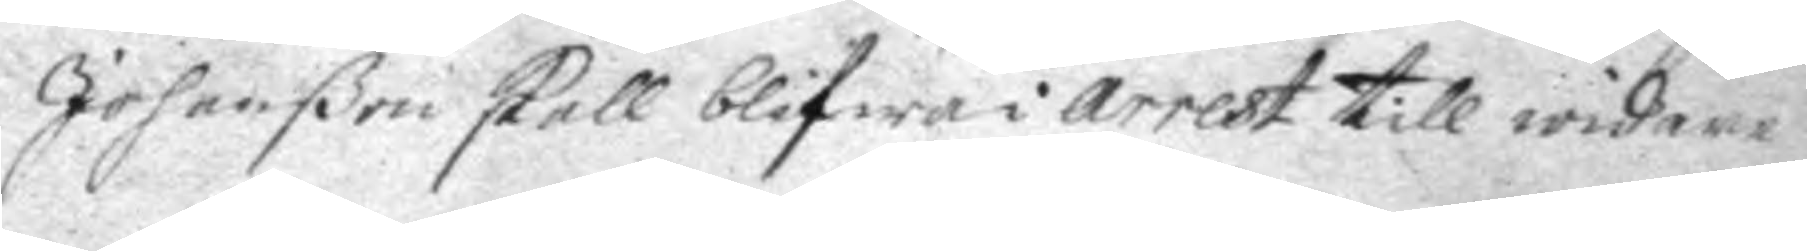Johanßon skall blifwa i arrest till widare
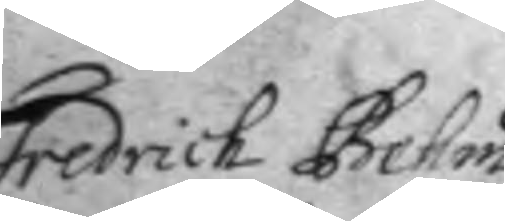Fredrich Behm
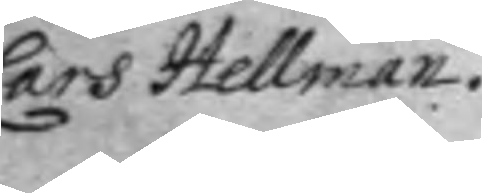Lars Hellman
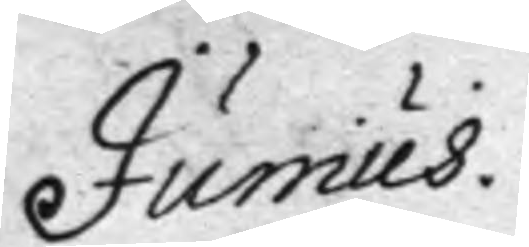Junius.
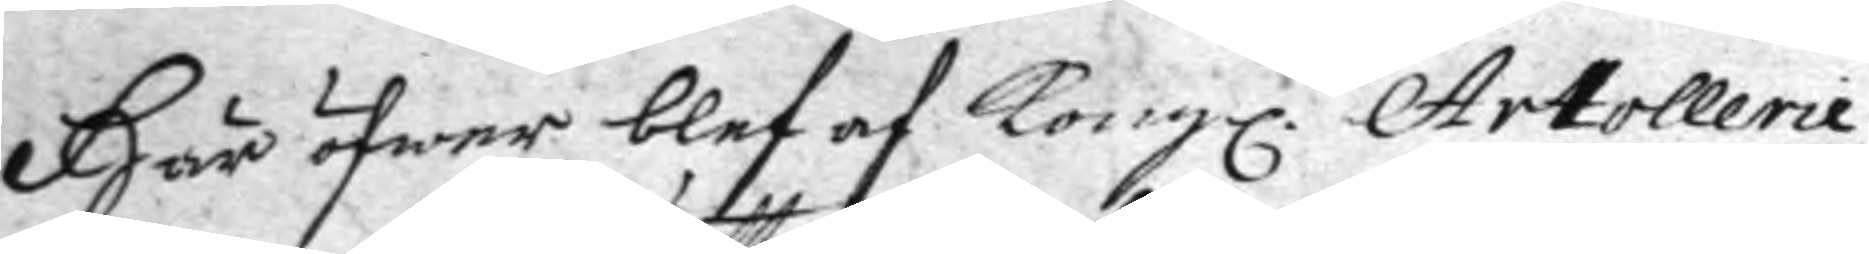Här öfwer blef af Kongl. Artollerie
